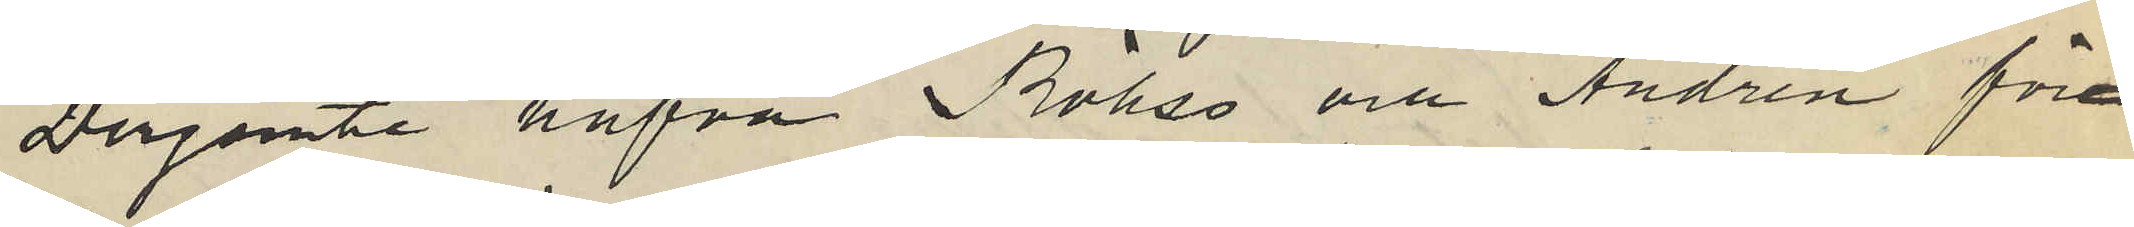Derjemte hafva Röhss och Andrén för¬
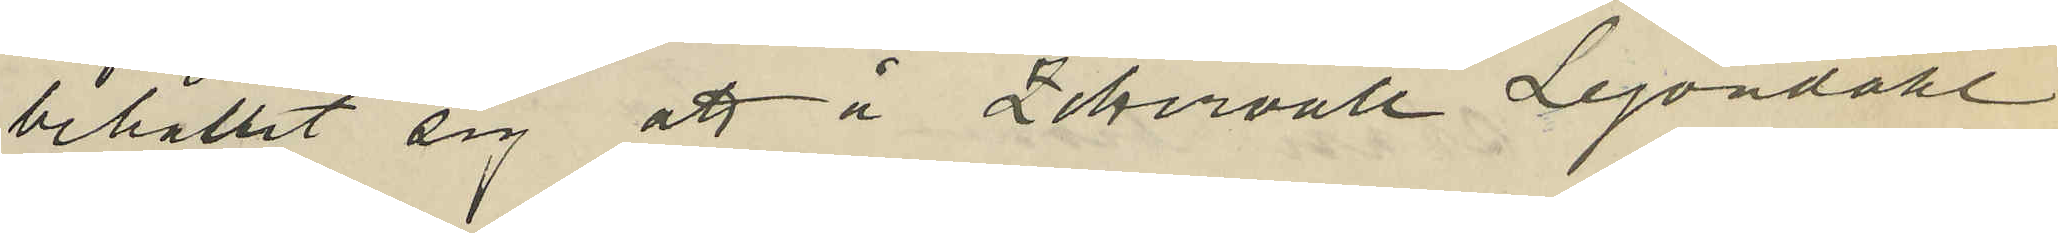behållit sig att i Zettervall Lejondahl
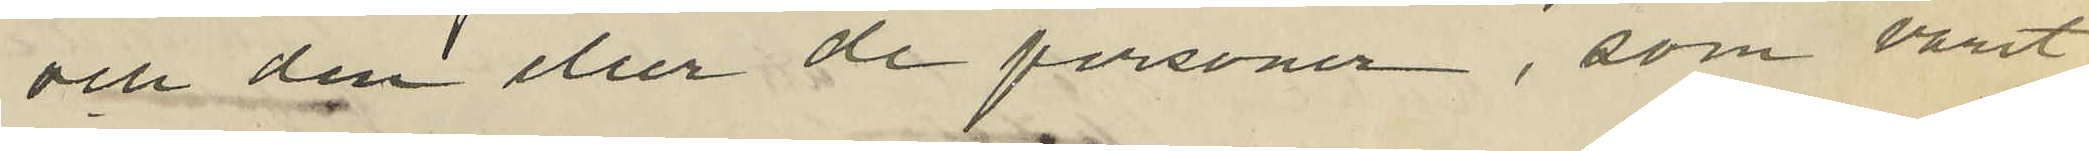och dem eller de personer, som varit
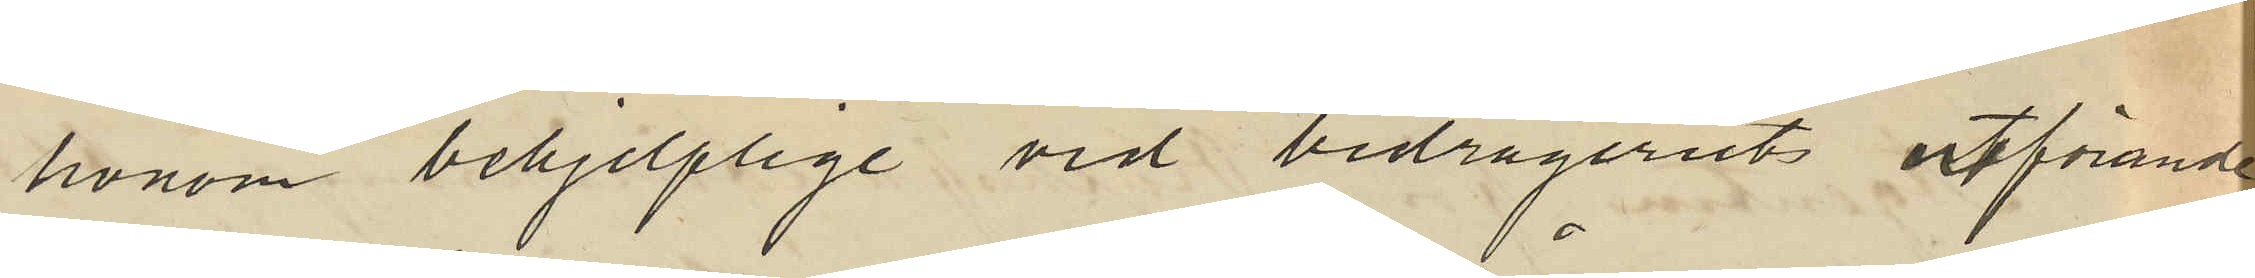honom behjelplige vid bedrägeriets utförande
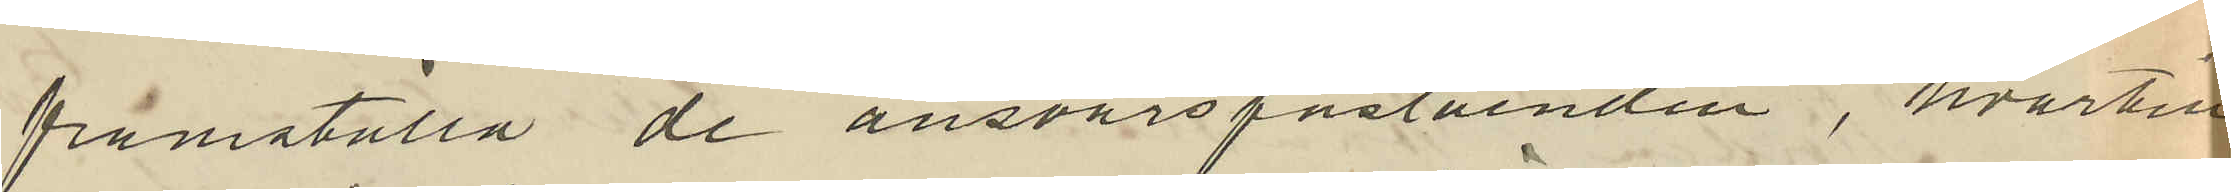framställa de ansvarspåståenden, hvartill
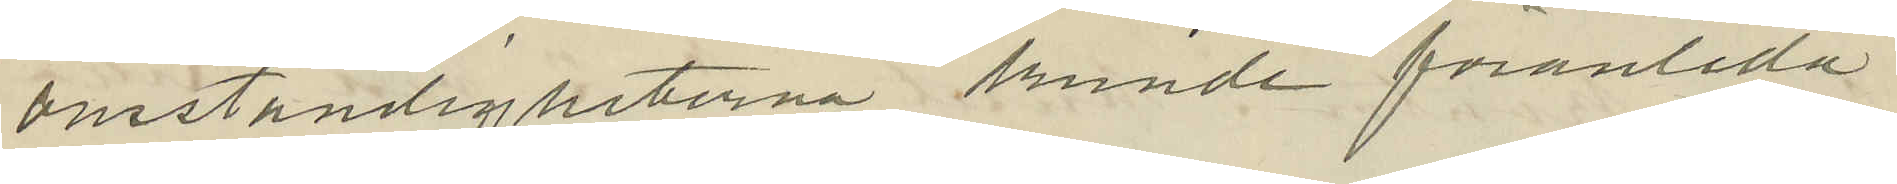omständigheterna kunde föranleda
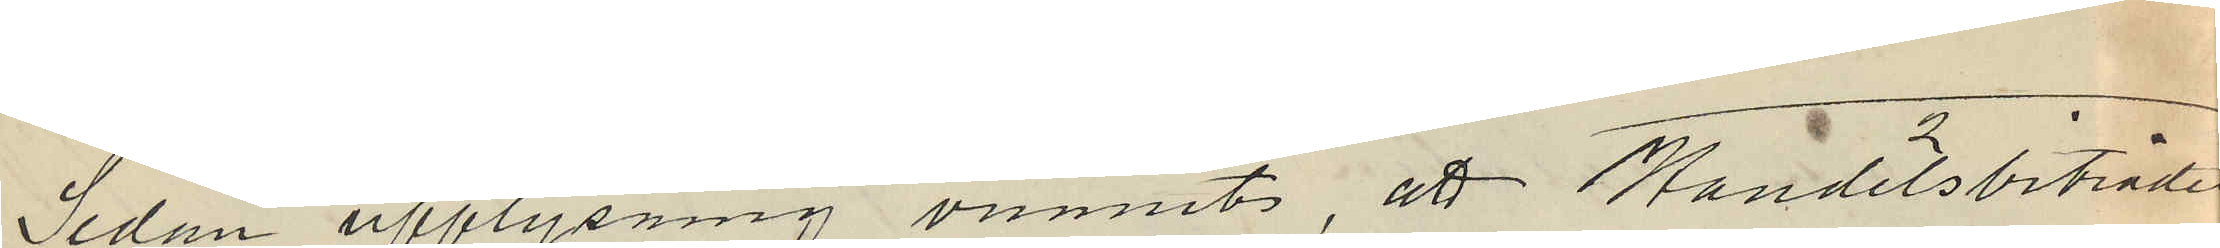Sedan upplysning vunnits, att Handelsbiträdet
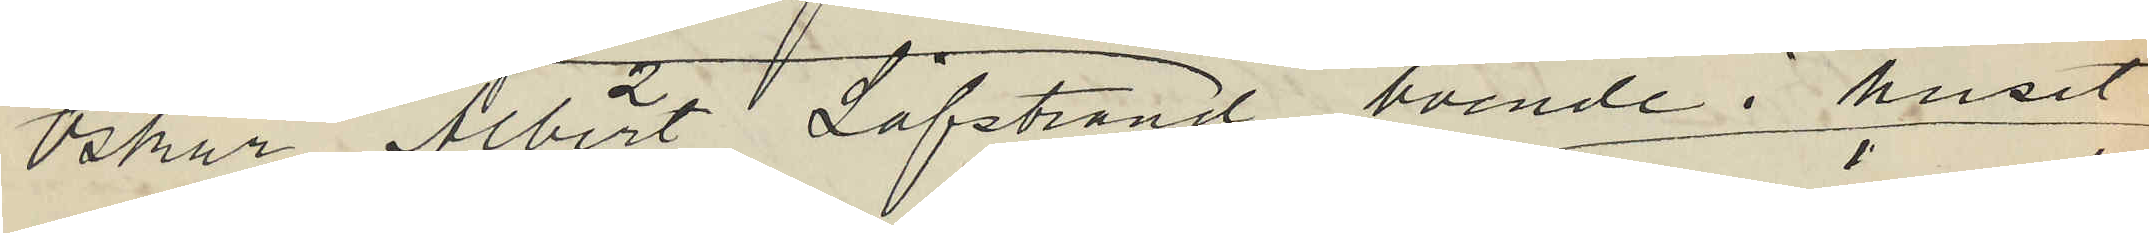Oskar Albert Löfstrand boende i huset
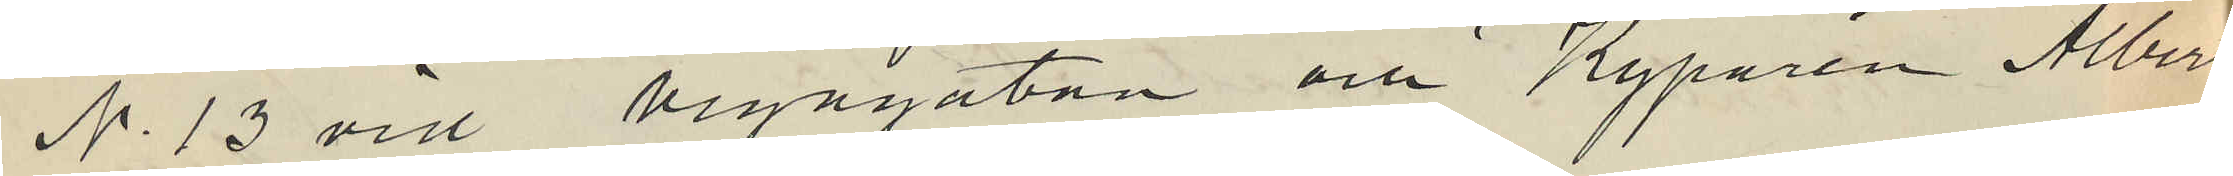No 13 vid Vegagatan och Kyparen Albert
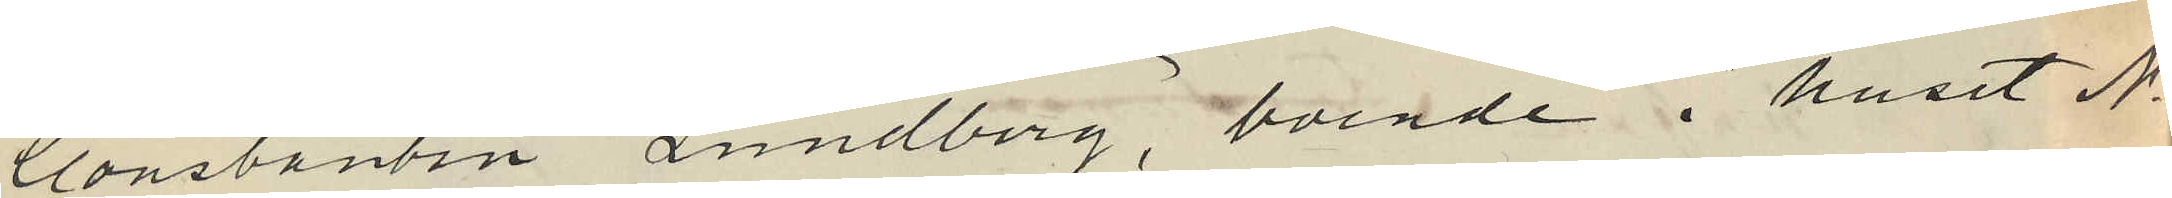Constantin Lundberg, boende i huset No
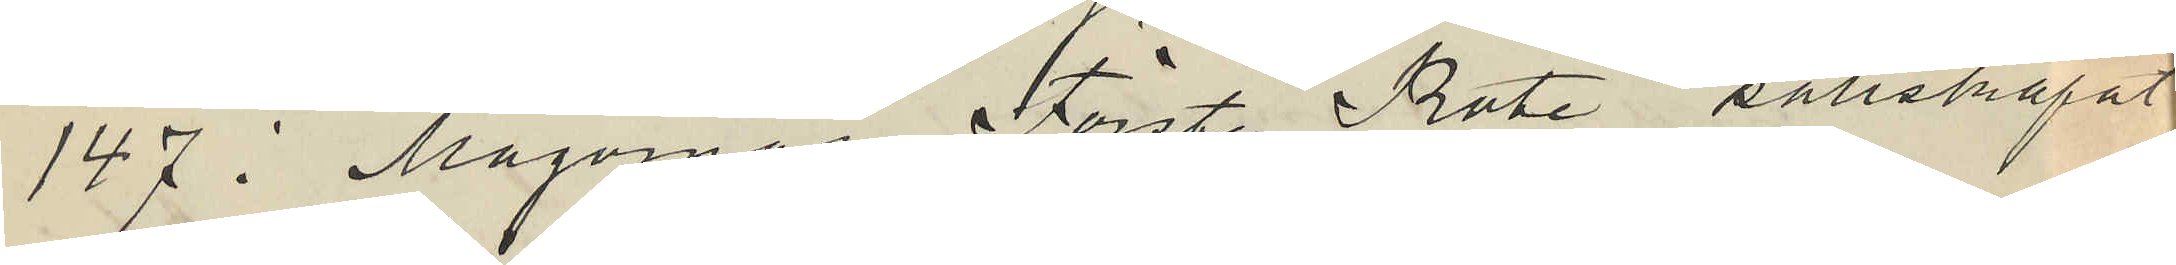147 i Majornas Förste Rote sällskapat
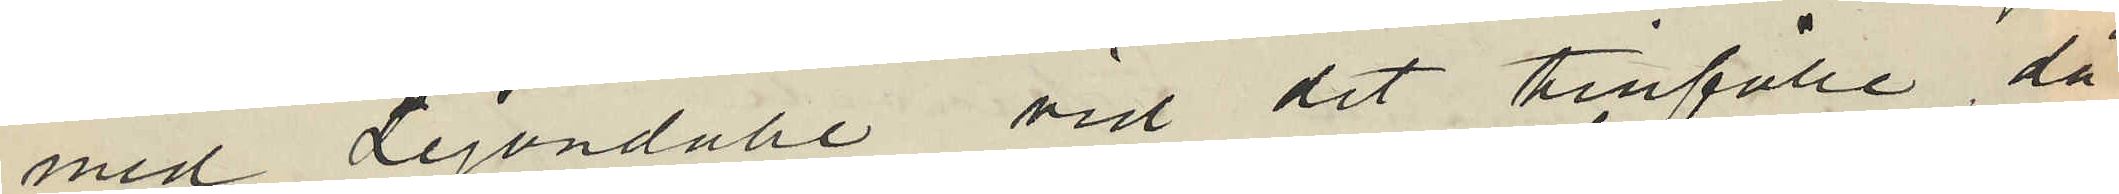med Lejondahl vid det tillfälle då
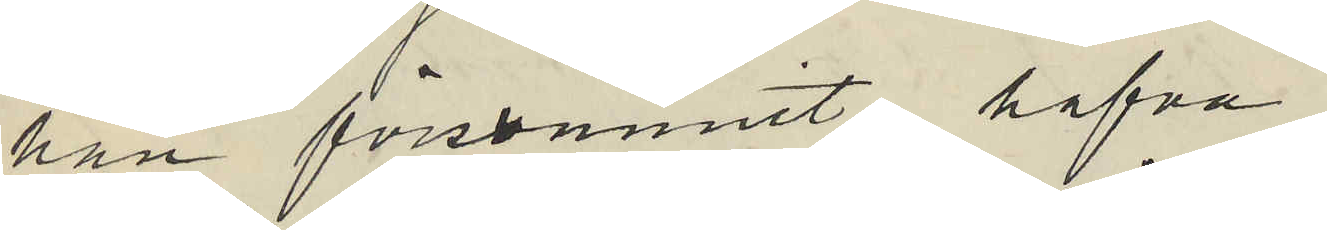han försvunnit, hafva
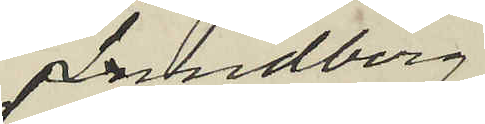Lundberg
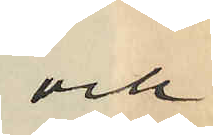och
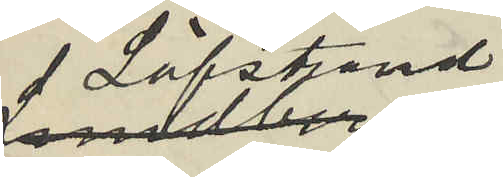 Löfstrand
